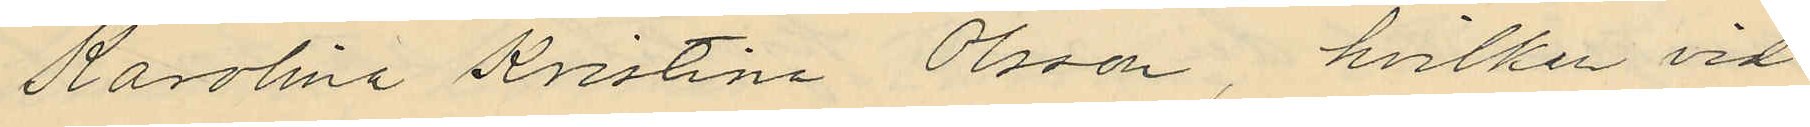Karolina Kristina Olsson, hvilken vid
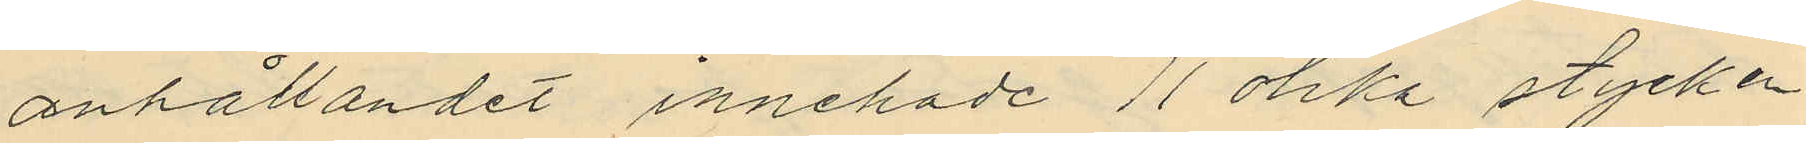anhållandet innehade 11 olika stycken
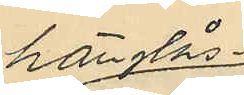hänglås¬
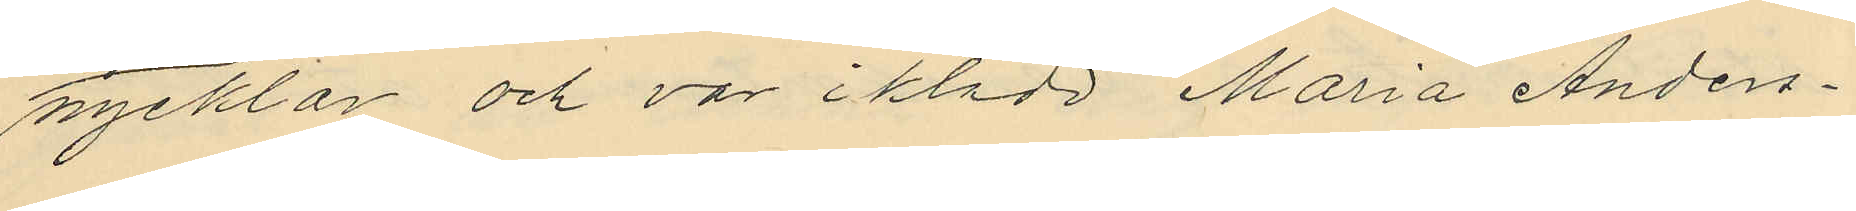nycklar och var iklädd Maria Anders¬
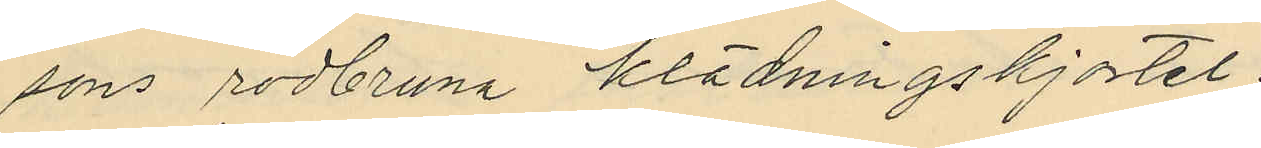sons rödbruna klädningskjortel.
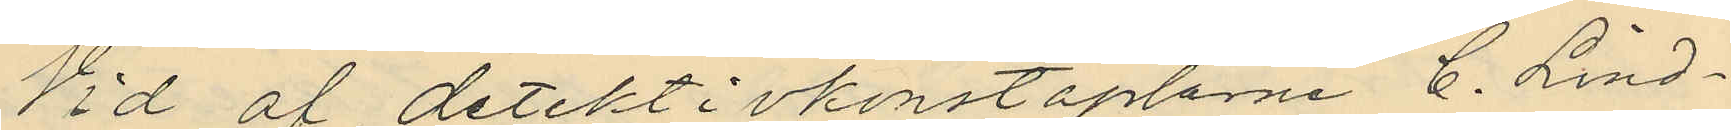Vid af detektivkonstaplarne C. Lind¬
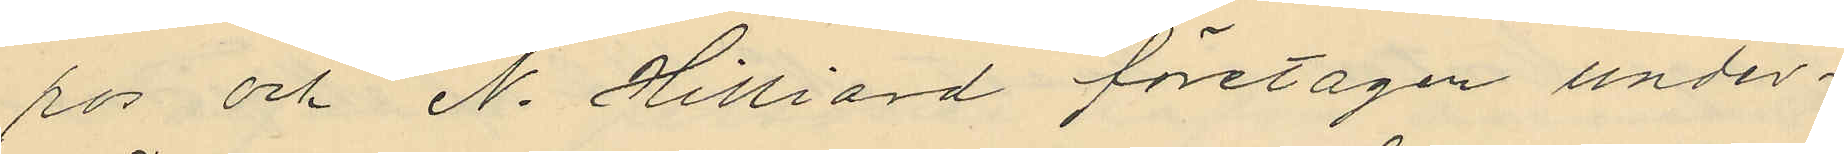ros och N. Hilliard företagen under¬
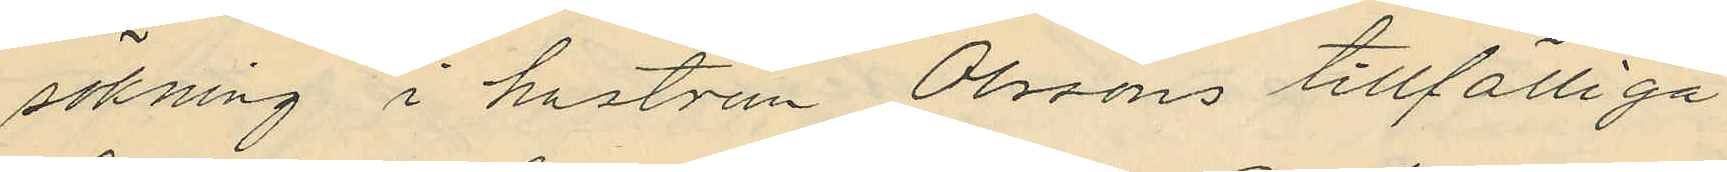sökning i hustrun Olssons tillfälliga
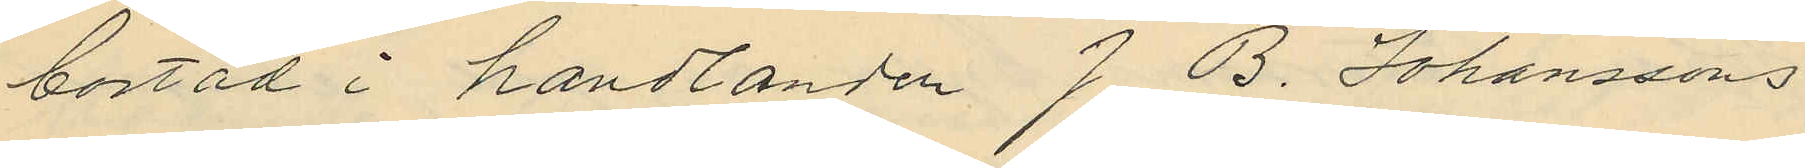bostad i handlanden J. B. Johanssons
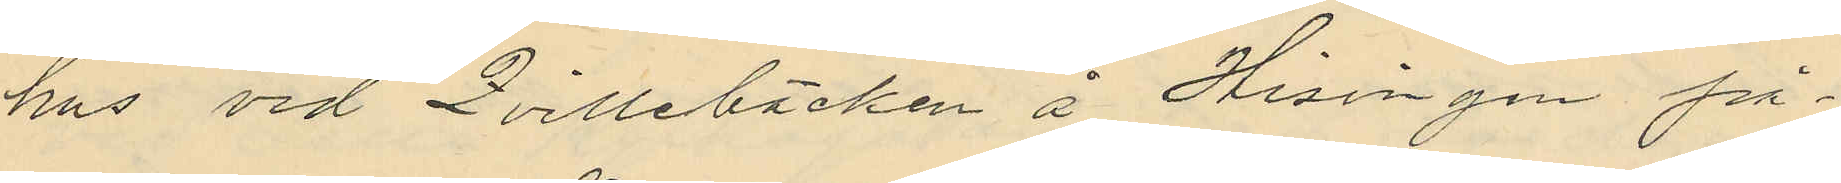hus vid Qvillebäcken å Hisingen på¬
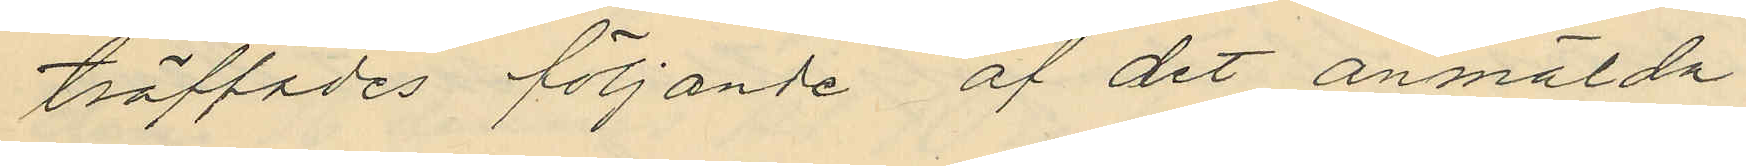träffades följande af det anmälda
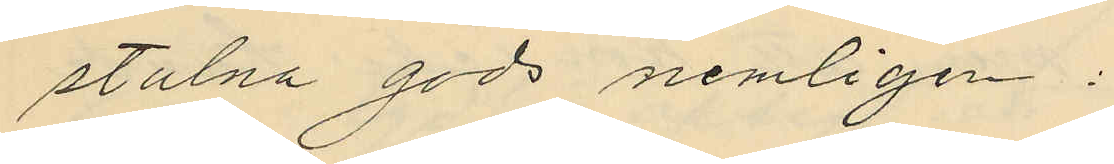stulna gods nemligen:
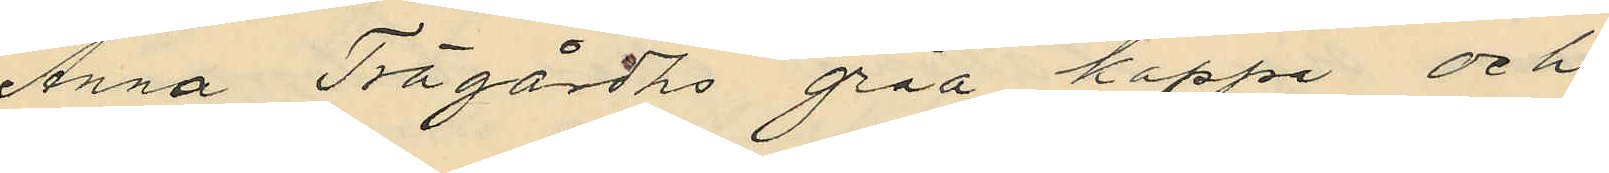Anna Trägårdhs gråa kappa och
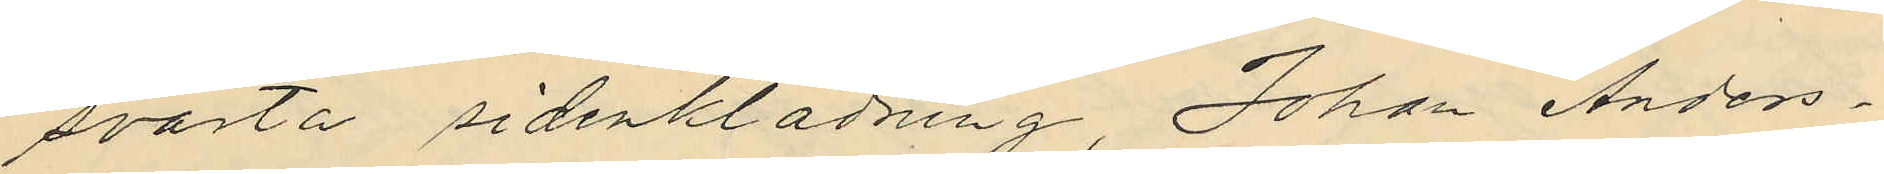svarta sidenklädning, Johan Anders¬
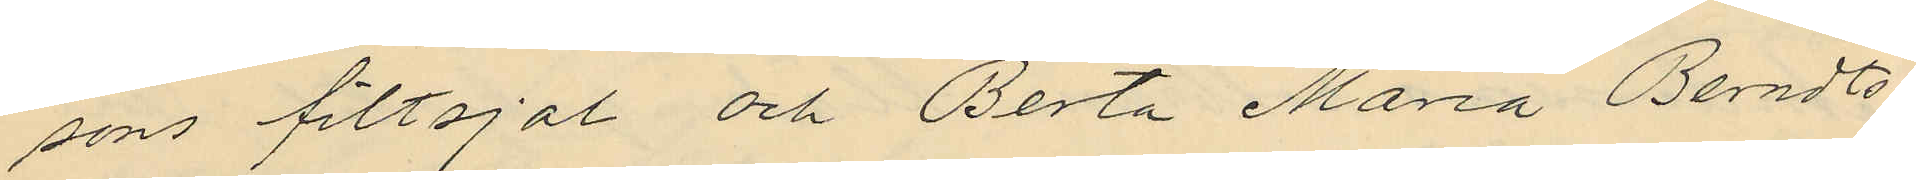sons filtsjal och Berta Maria Berndts¬
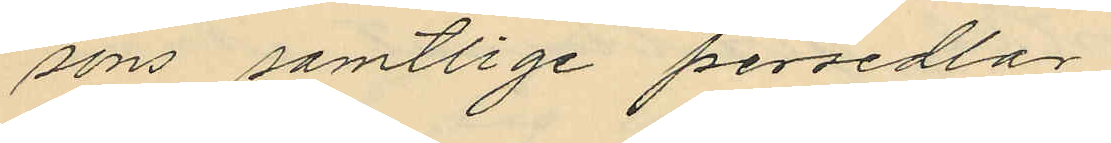sons samtlige persedlar.
